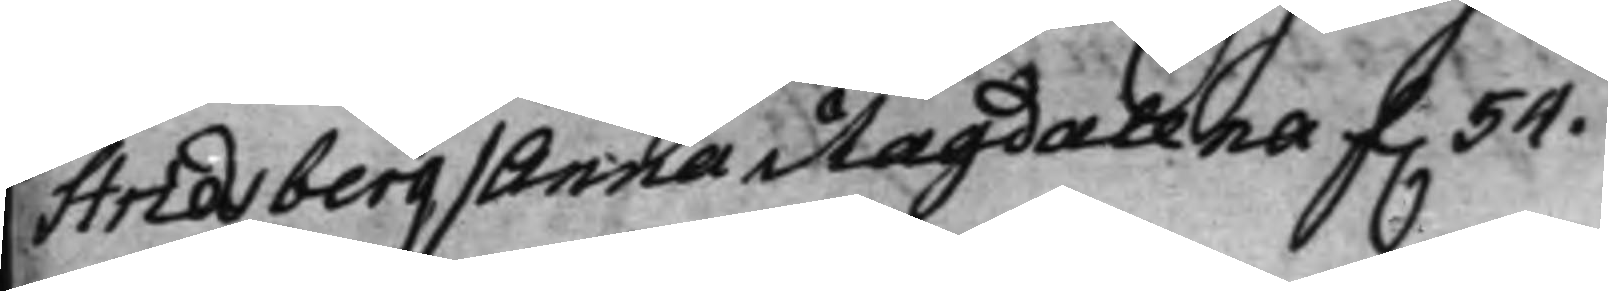Stridsberg / Anna Magdalena f. 54.
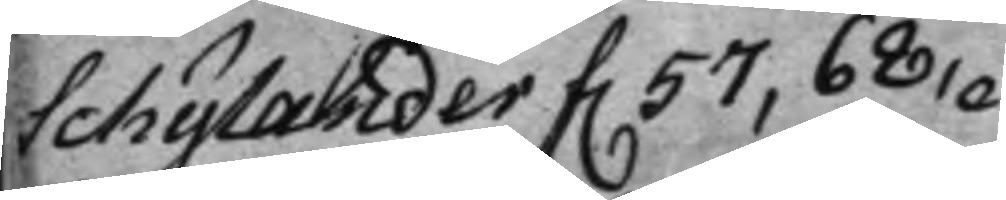Schylander f. 57, 68,
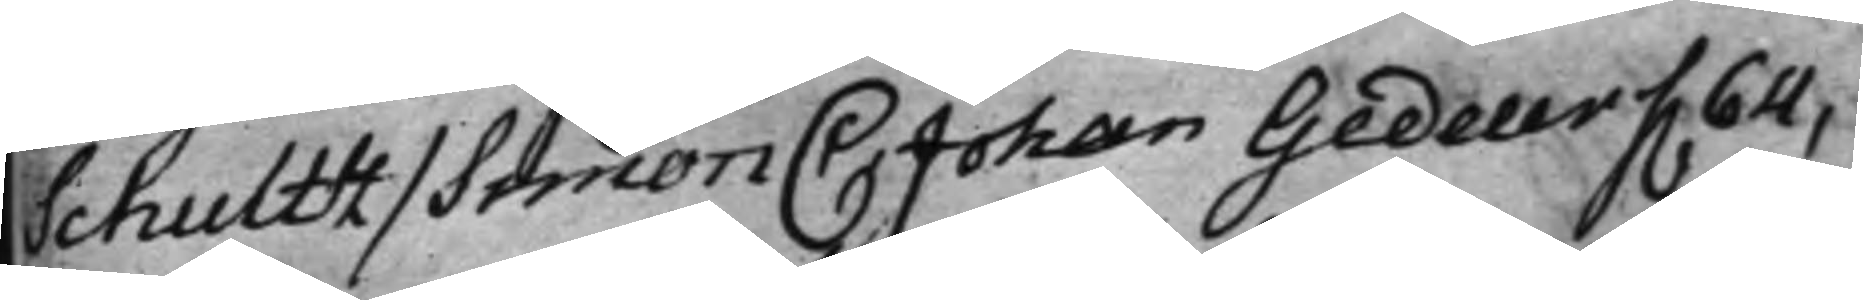Schultz / Simon C: Johan Gedeur f. 64,
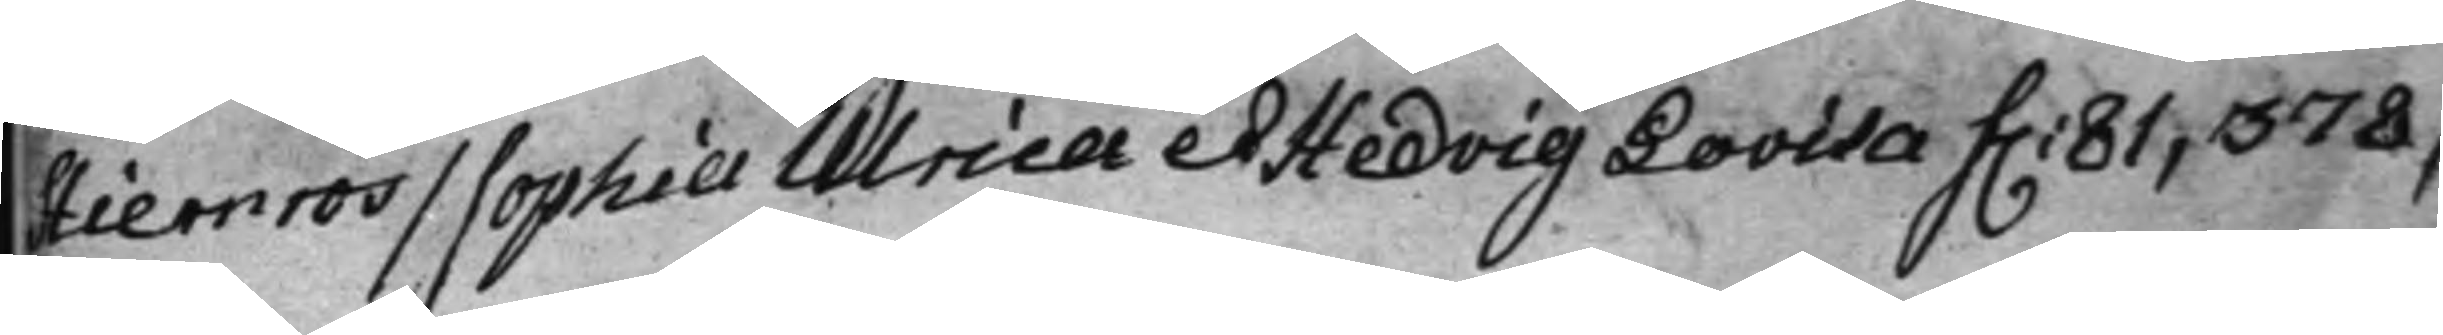Stiernros / Sophia Ulrica et Hedvig Lovisa f. 81, 378,
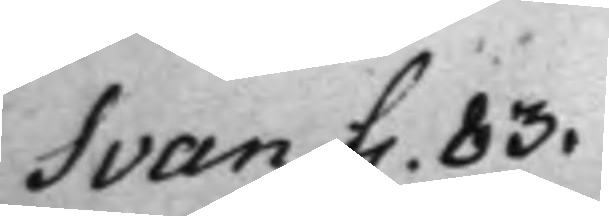Svan f. 83.
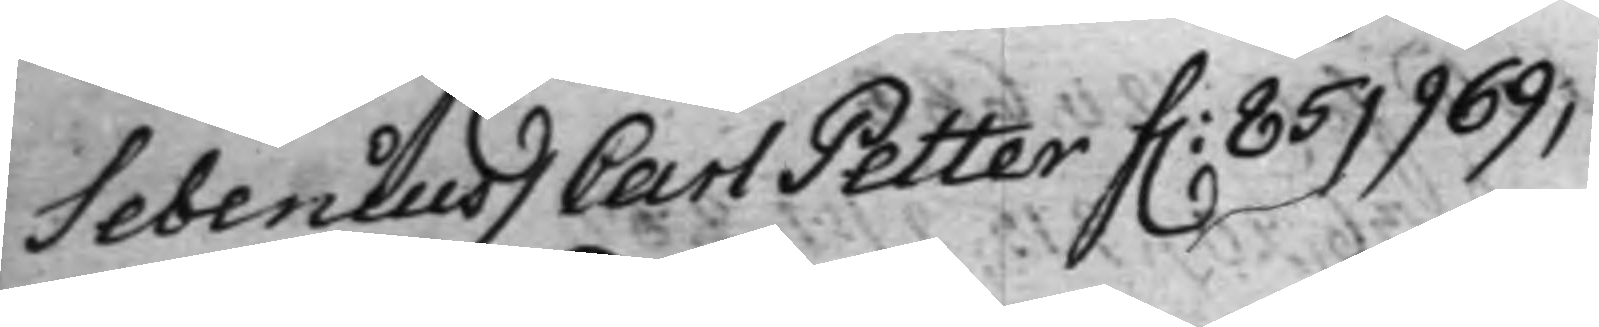Sebenius / Carl Petter f. 85, 969,
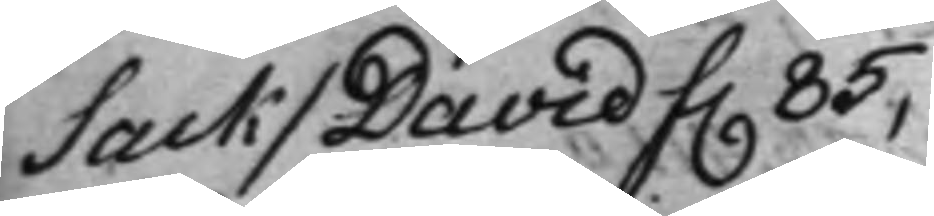Sack / David f. 85,
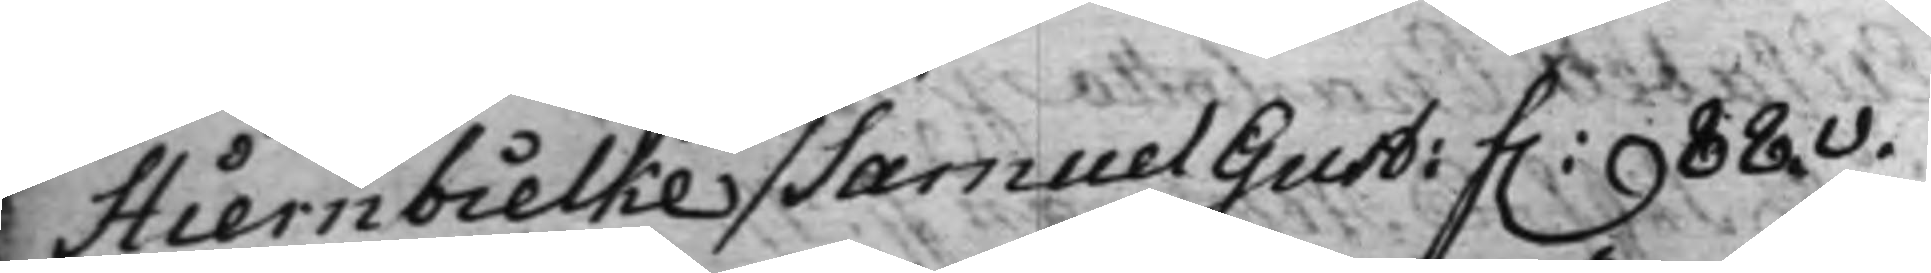Stiernbielke / Samuel Gust: f. 88.v.
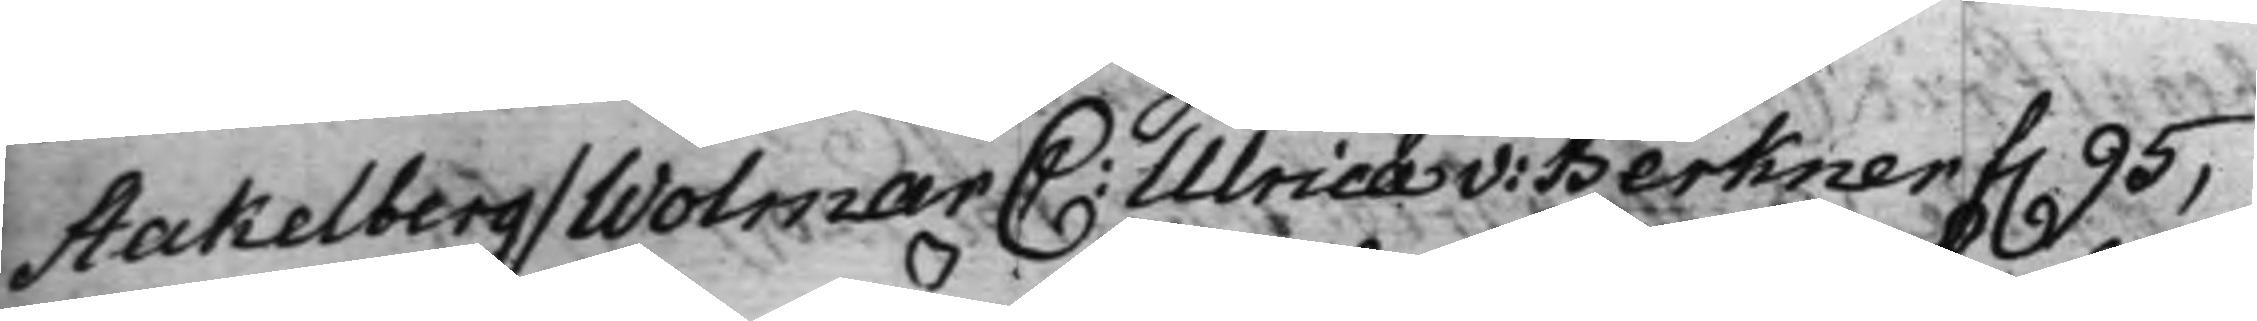Stakelberg / Wolmar C: Ulrica v: Berkner f. 95,
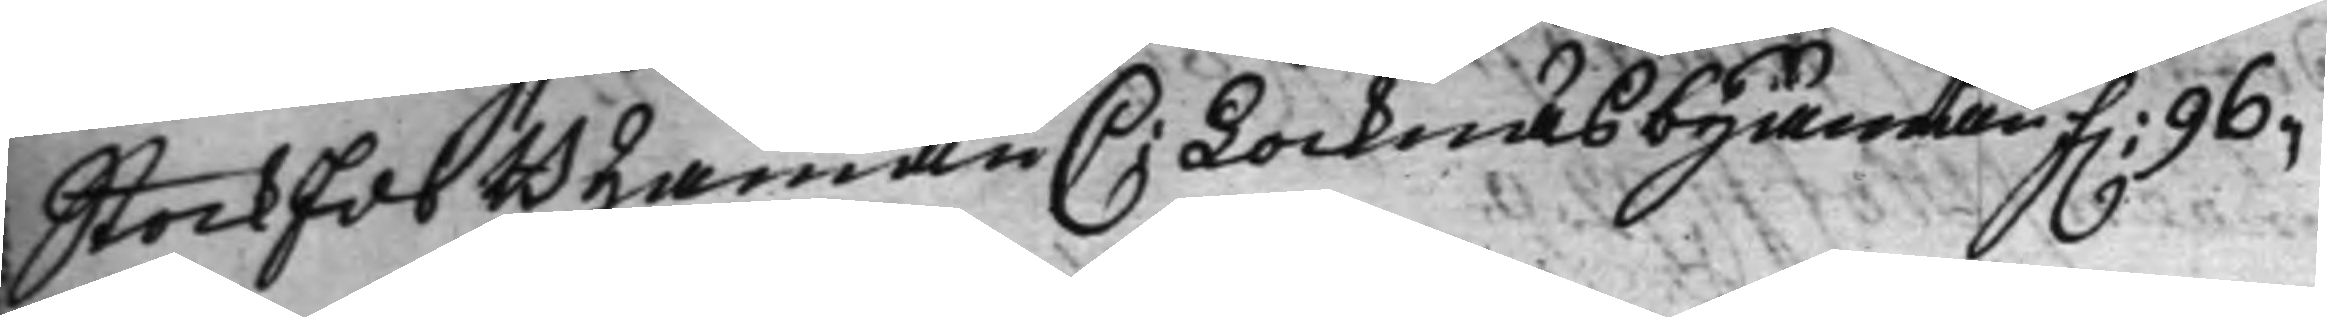StockEds Byamän C: Locknäs byamän f. 96.
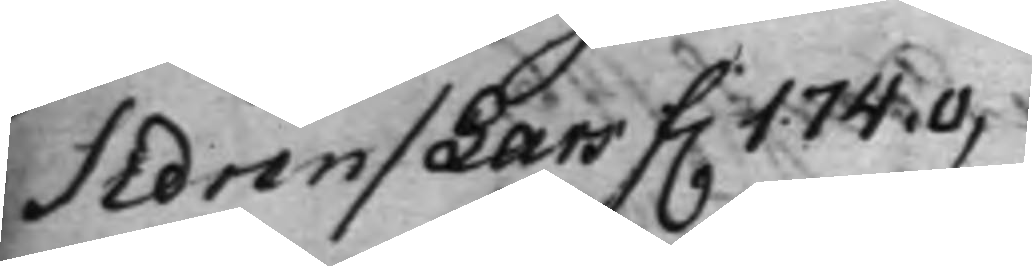Sidren / Lars f. 174.v,
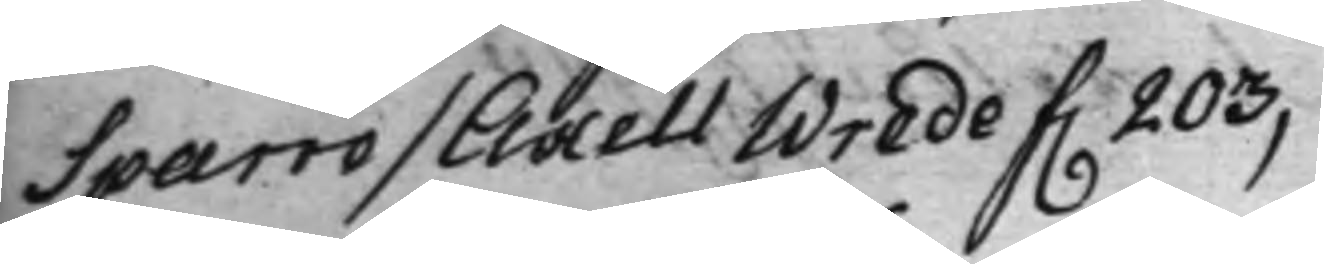Sparre / Axell Wrede f. 203,
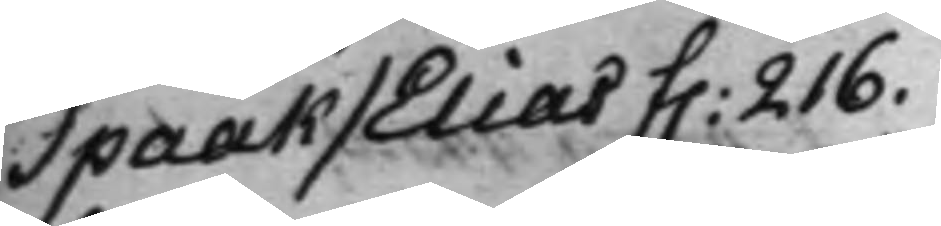Spaak / Elias f. 216.
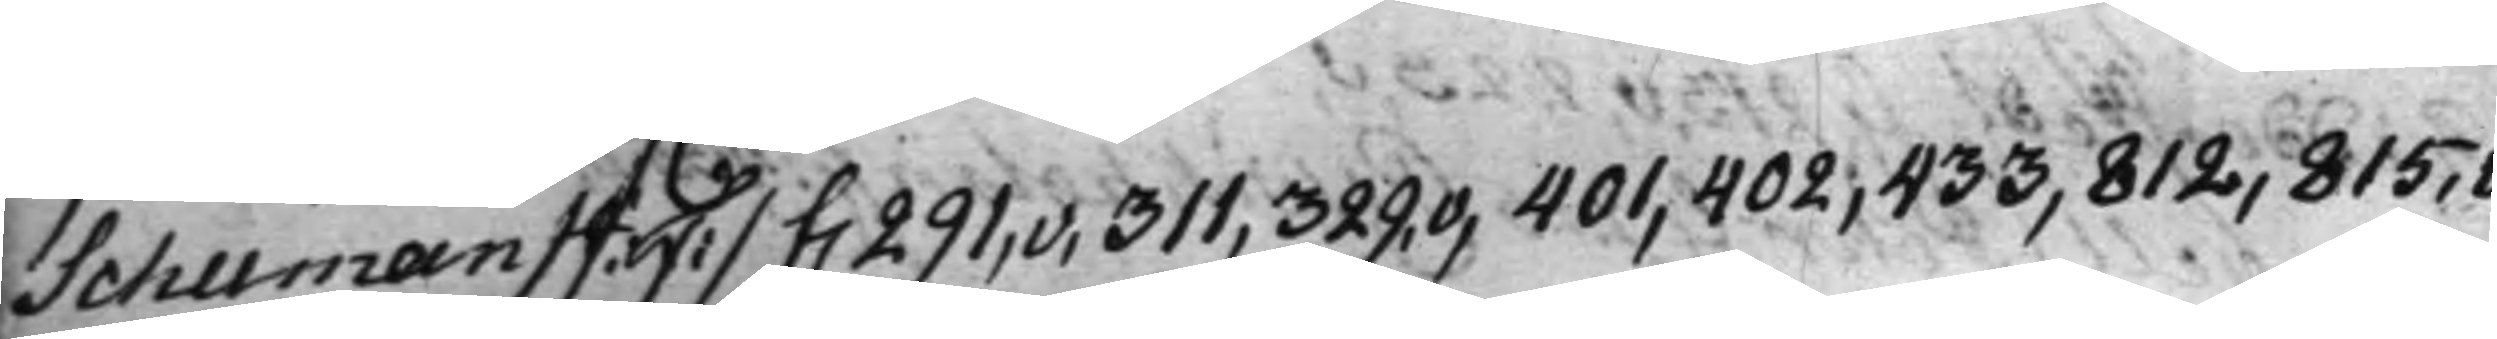Schuman / J: F: / f. 291,v, 311, 329.v, 401, 402, 433, 812, 815,v,
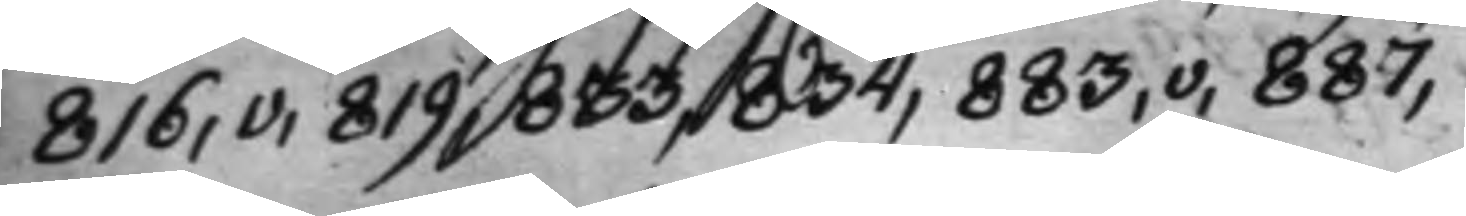816,v, 819, 833, 834, 883,v, 887,
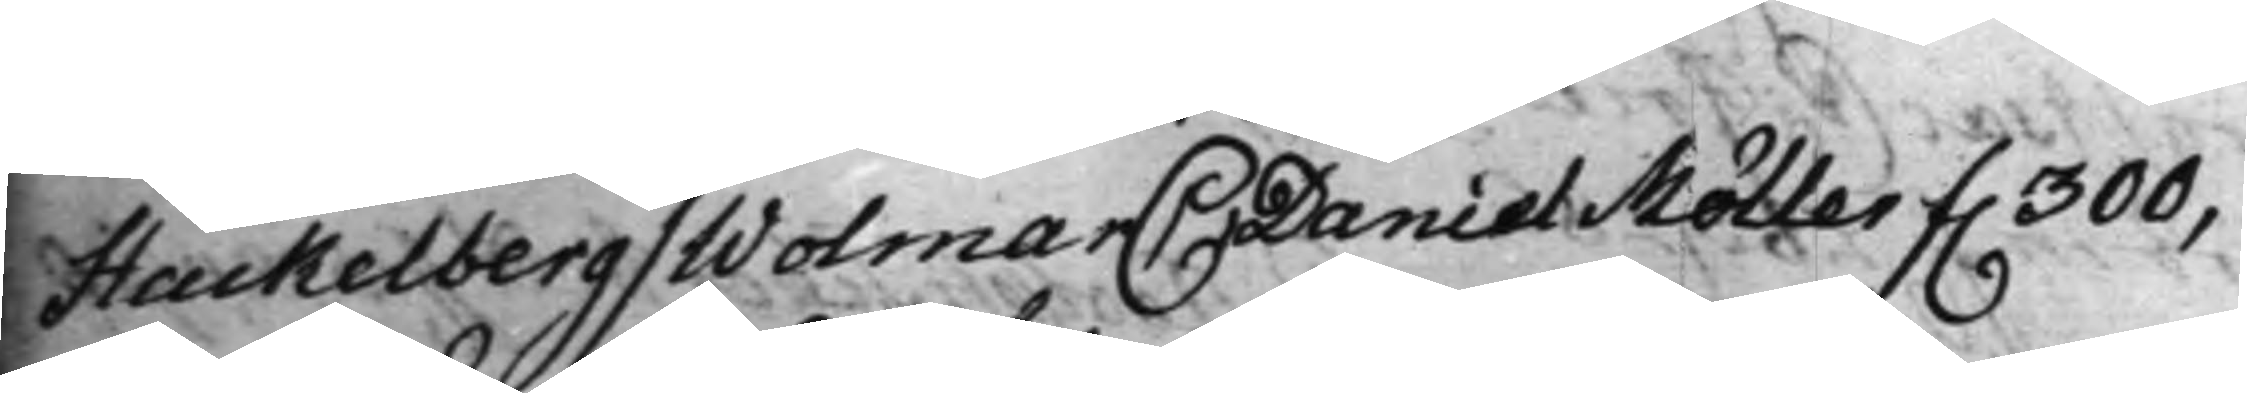Stackelberg / Wolmar C Daniel Möller f. 300,
